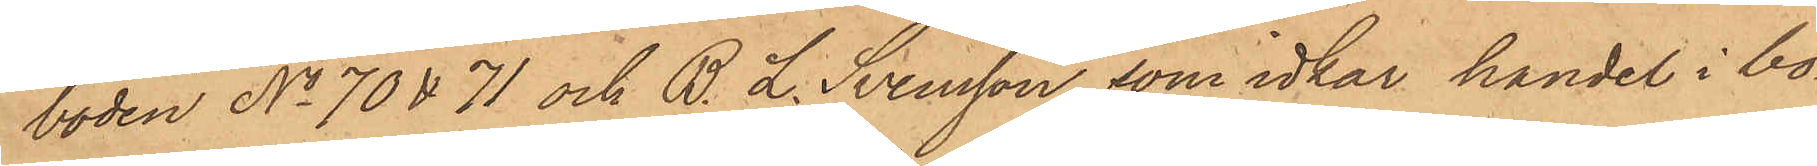boden No 70 & 71 och B. L. Svensson, som idkar handel i bo¬
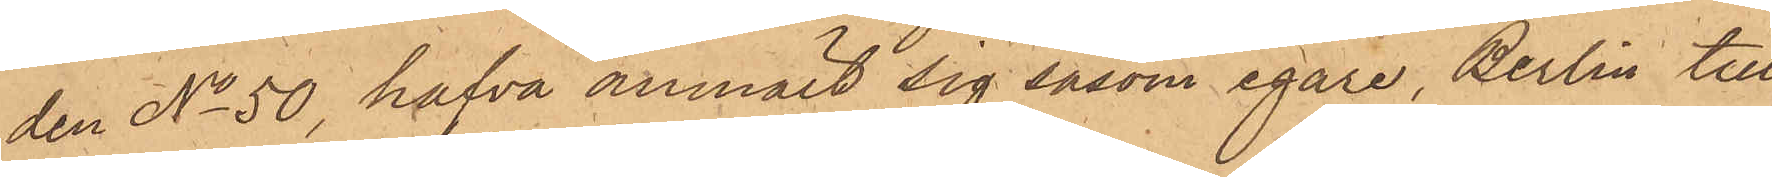den No 50, hafva anmält sig såsom egare, Berlin till
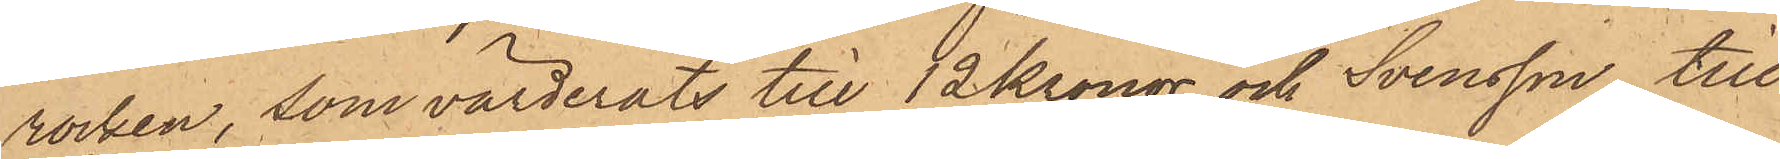rocken, som värderats till 12 Kronor och Svensson till
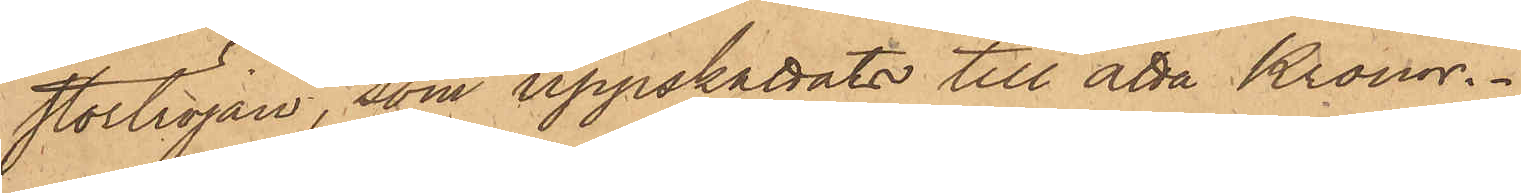stortröjan, som uppskattats till åtta Kronor.
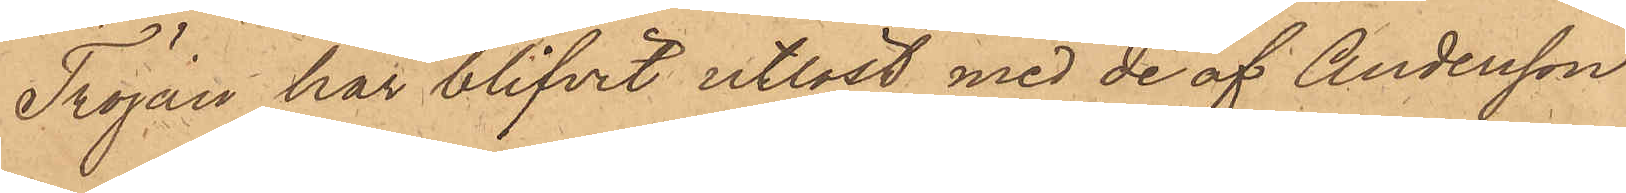Tröjan har blifvit utlöst med de af Andersson
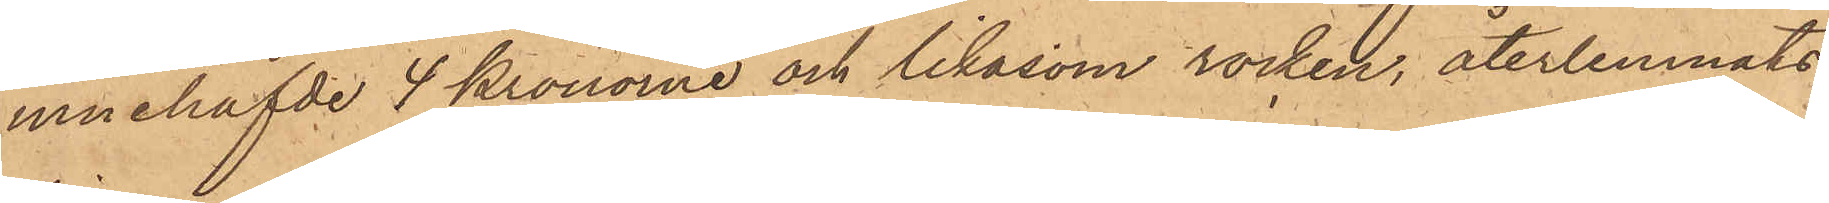innehafvde 4 Kronorna och likasom rocken, återlemnats
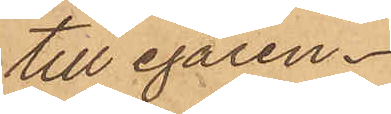till egaren.
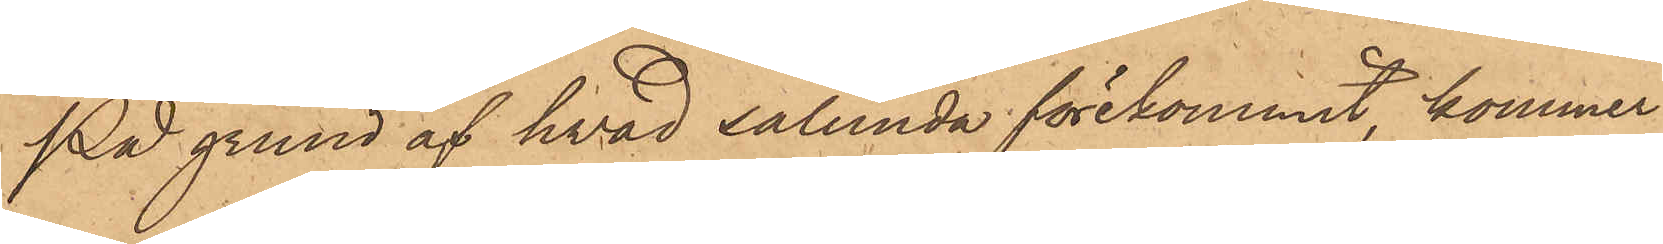På grund af hvad sålunda förekommit, kommer
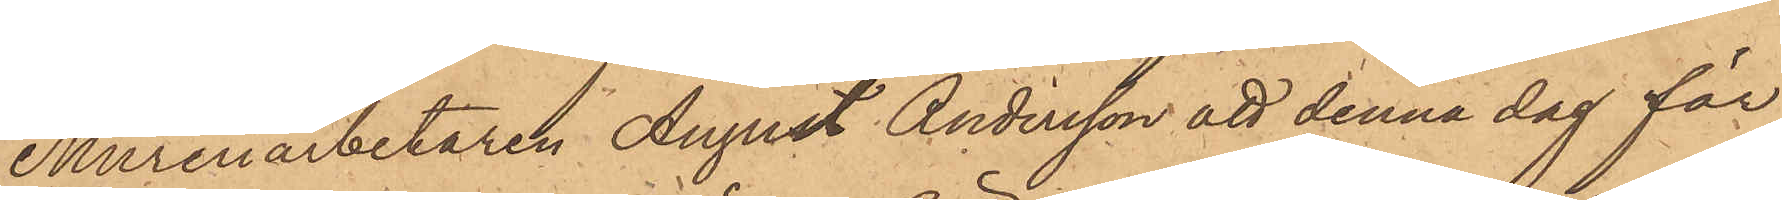Mureriarbetaren August Andersson att denna dag för
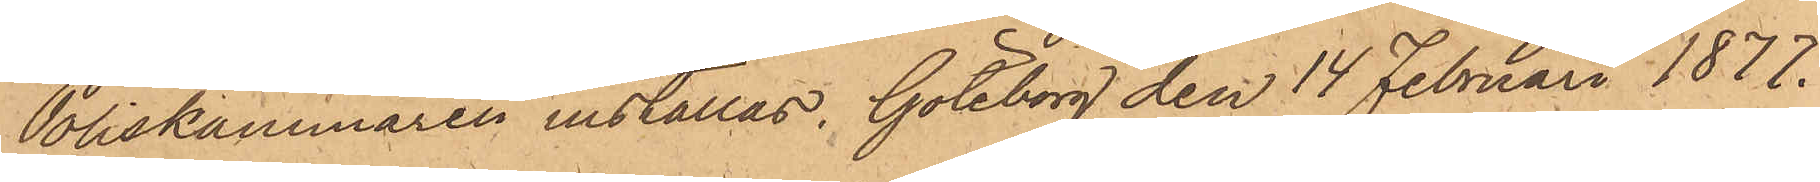Poliskammaren inställas. Göteborg den 14 Februari 1877.
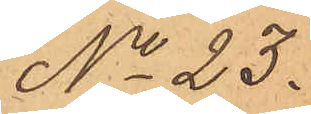No 23.
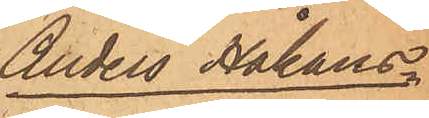Anders Håkans¬
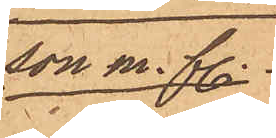son m. fl.
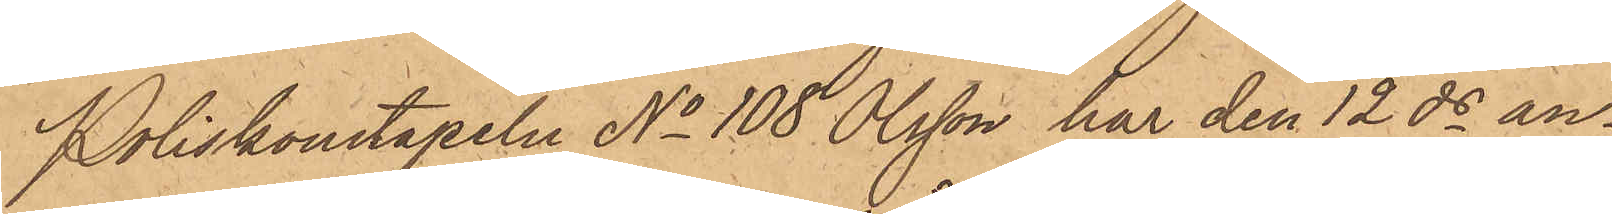Poliskonstapeln No 108 Olsson har den 12 ds an¬
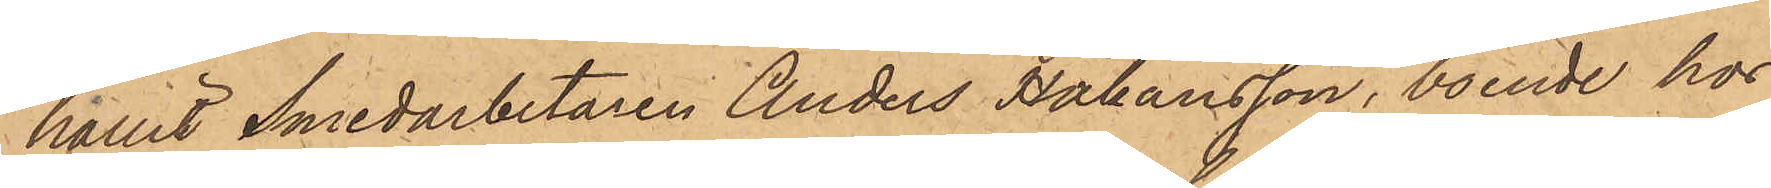hållit Smedarbetaren Anders Håkansson, boende hos
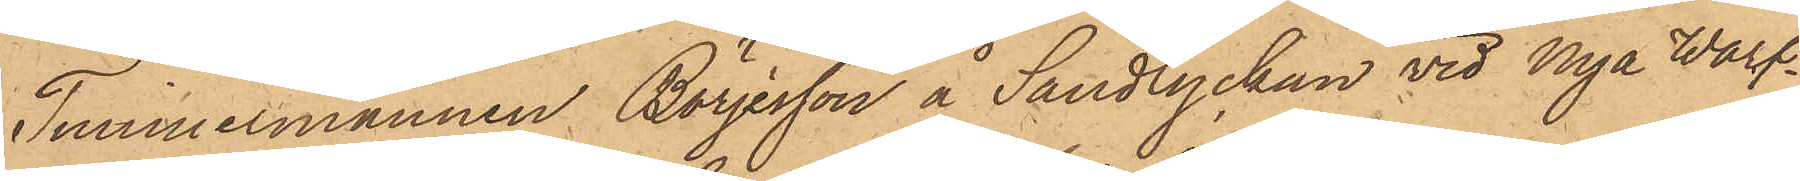Timmermannen Börjesson å Sandlyckan vid Nya Warf¬
